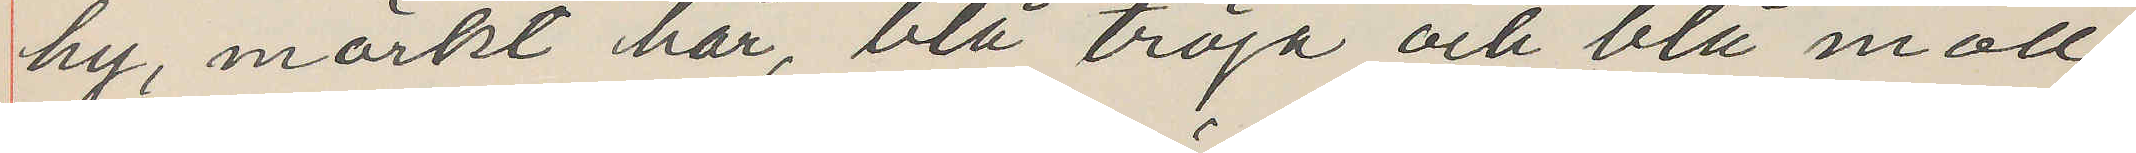hy, mörkt hår, blå tröja och blå moll¬
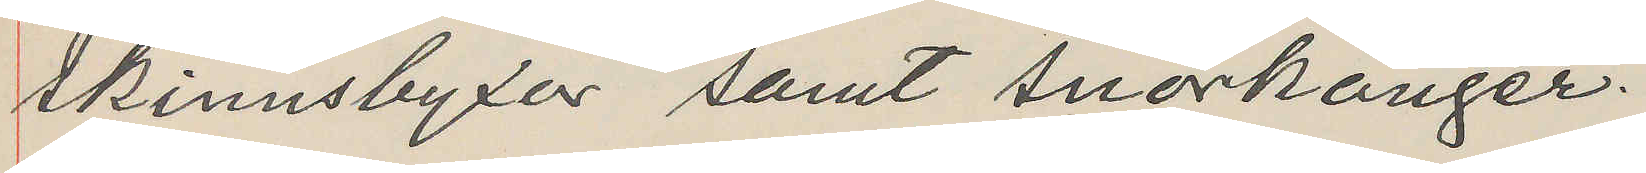skinnsbyxor samt snörkänger.
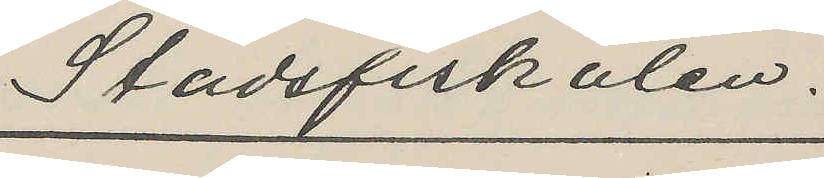Stadsfiskalen.
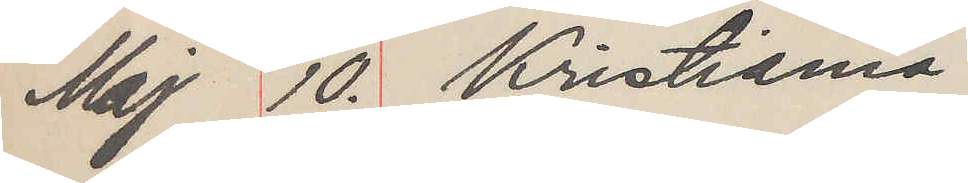Maj 10. Kristiania
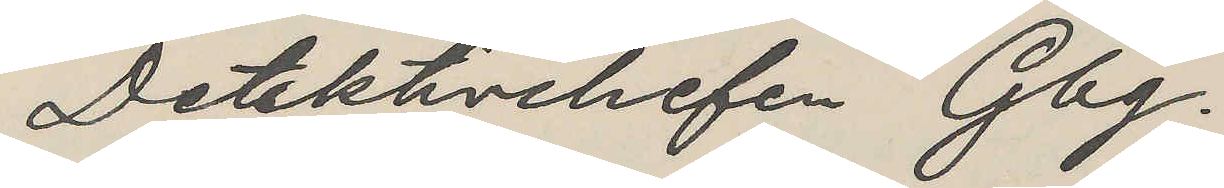Detektivchefen Gbg.
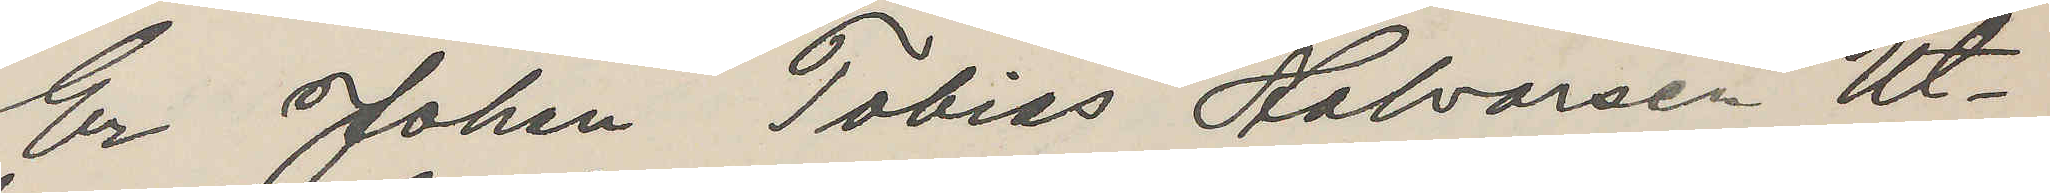Er Johan Tobias Halvarsen Ut¬
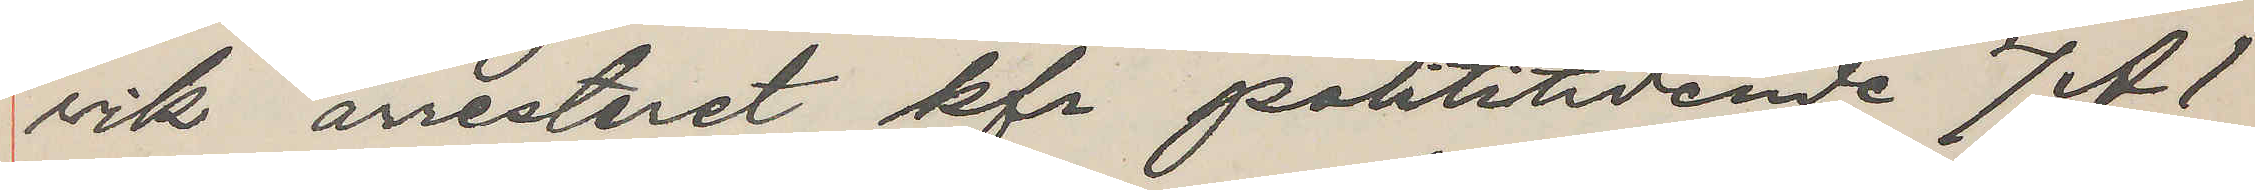vik arresteret kfr polititidende 7 A1
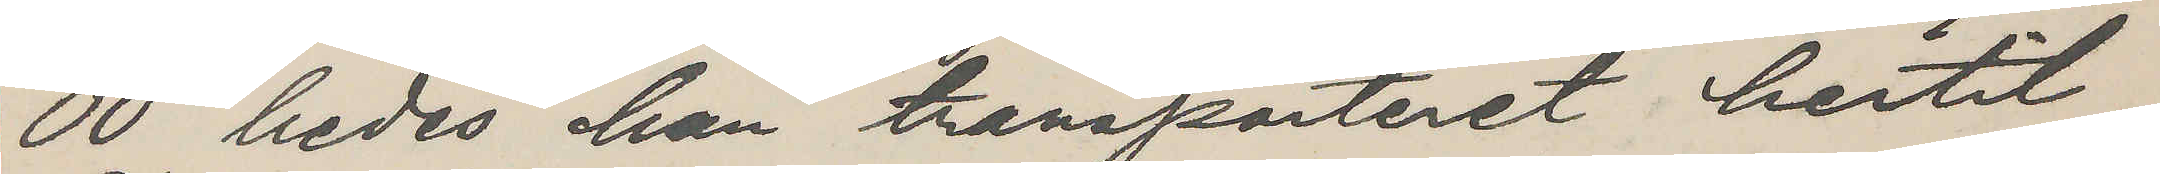00 bedes han transporteret hertil.
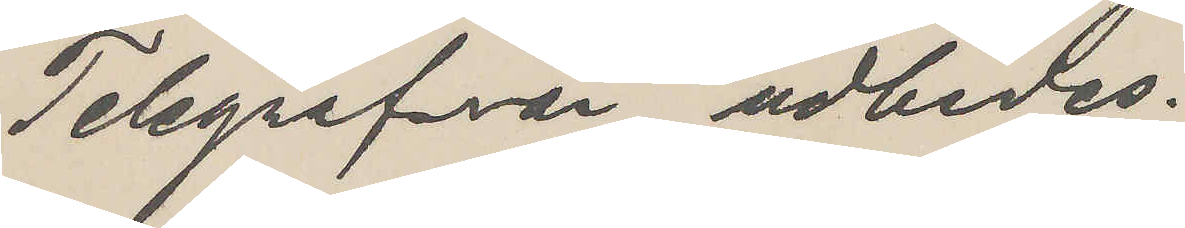Telegrafsvar udbedes.
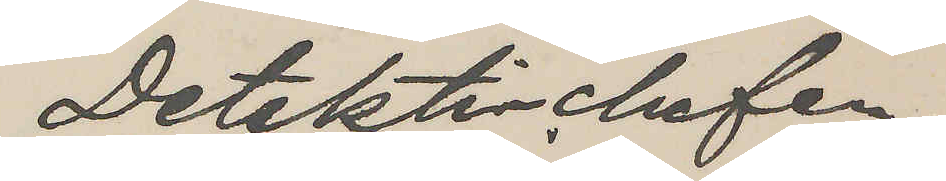Detektivchefen
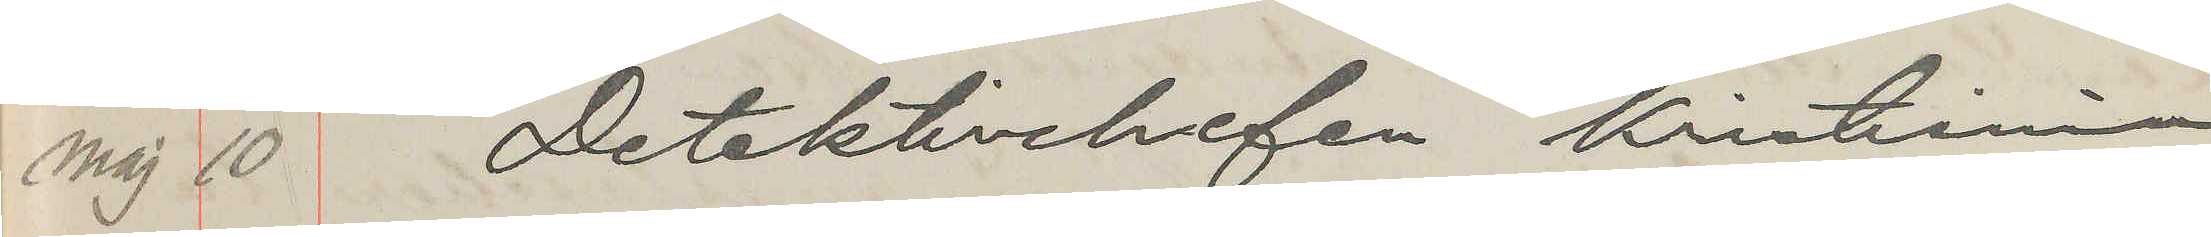Maj 10 Detektivchefen Kristiania
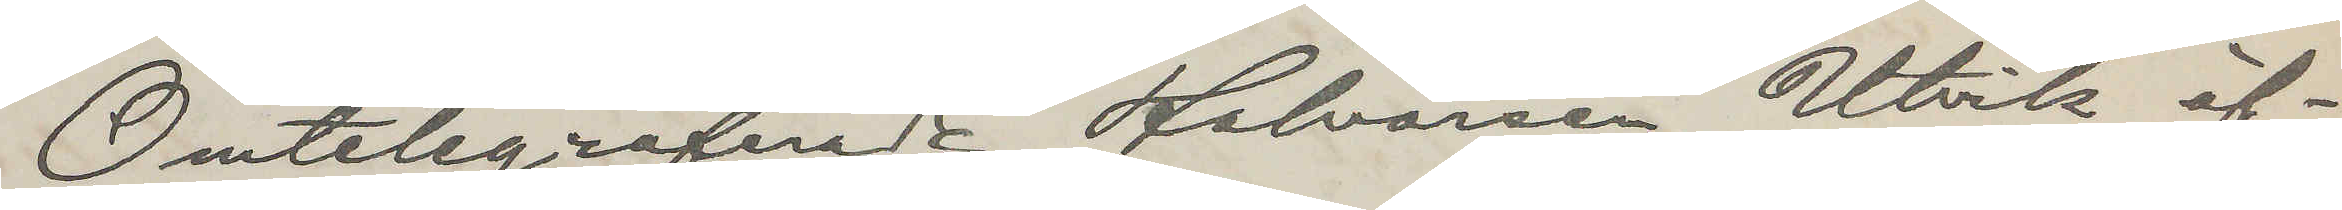Omtelegraferade Halvarsen Utvik öf¬
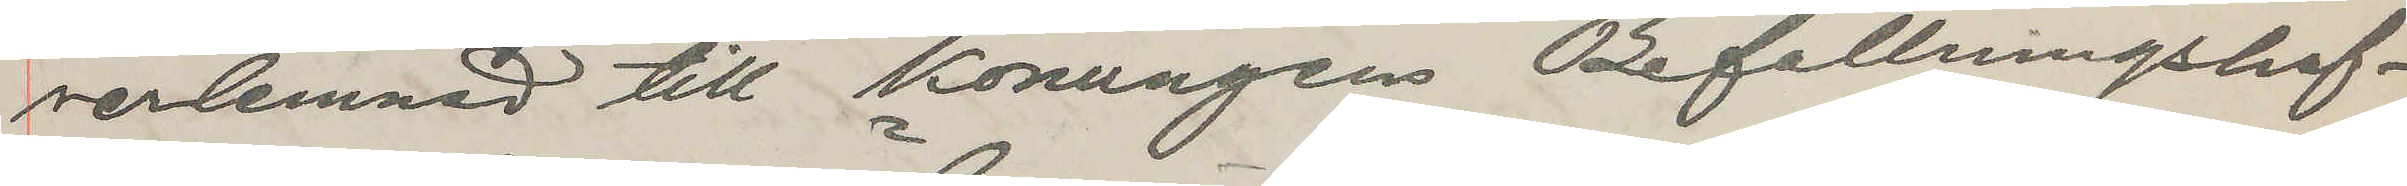verlemnad till Konungens Befallningshaf¬
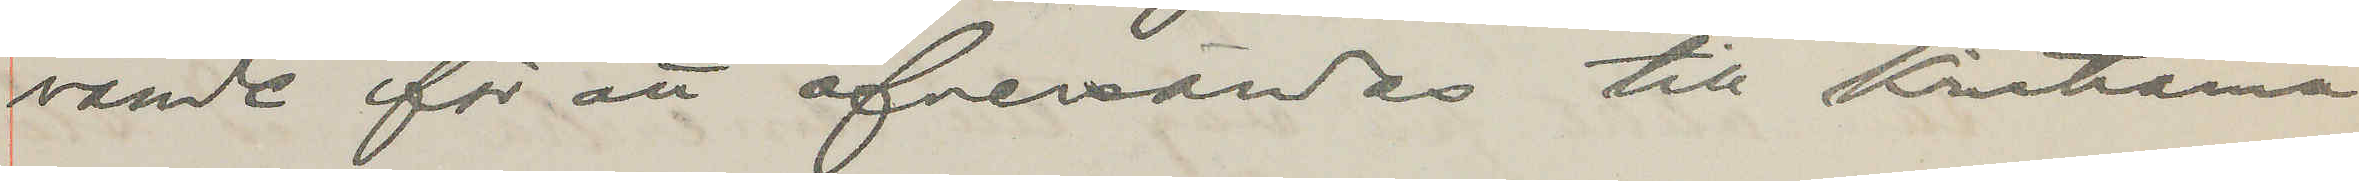vande för att översändas till Kristiania
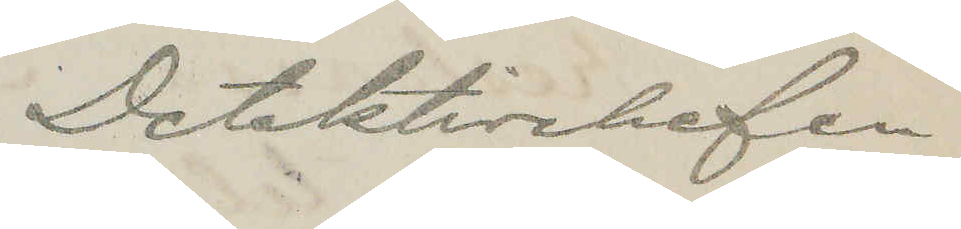Detektivchefen
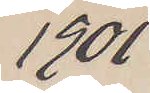1901
